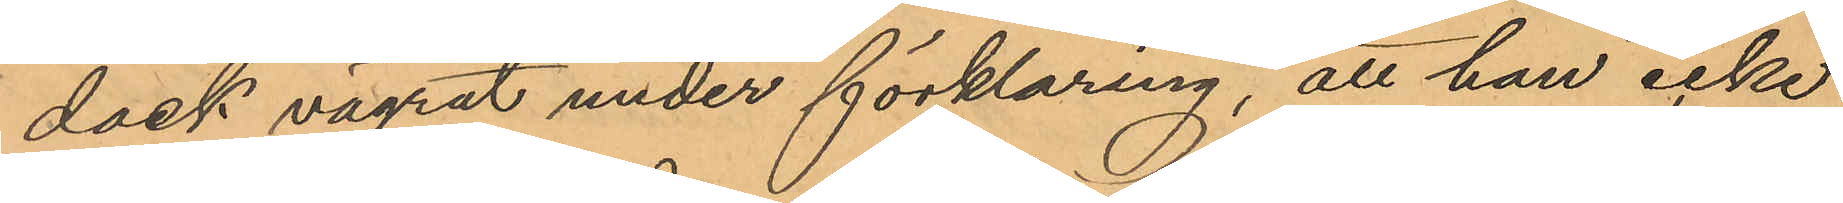dock vägrat under förklaring, att han icke
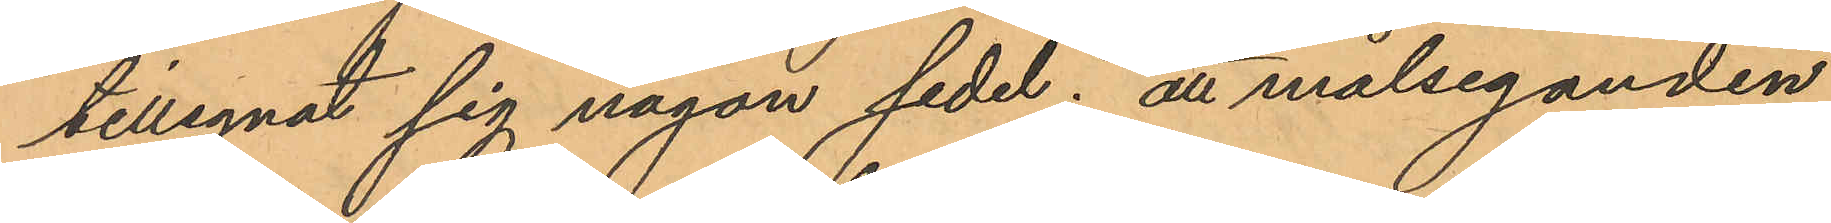tillegnat sig någon sedel; att målseganden
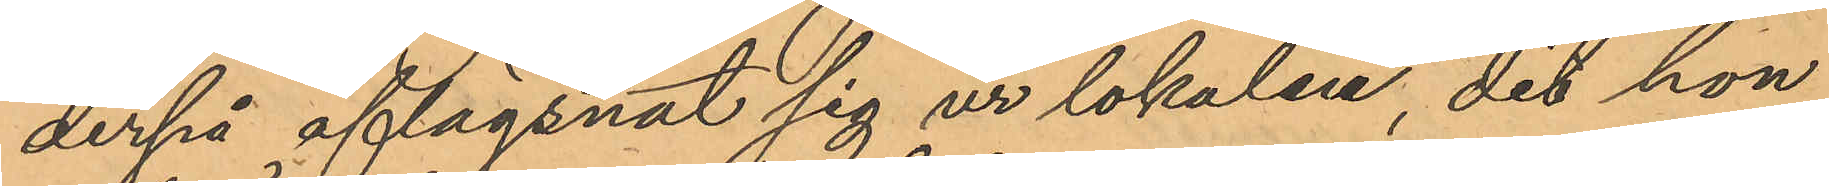derpå aflägsnat sig ur lokalen, dit hon
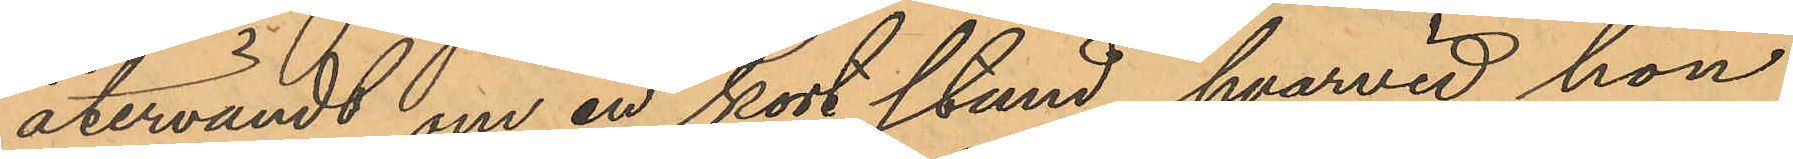återvändt om en kort stund, hvarvid hon
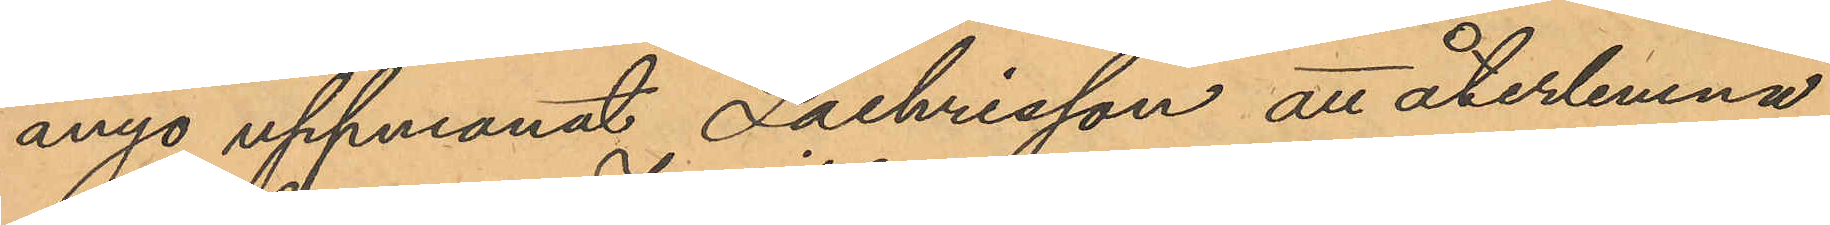ånyo uppmanat Zachrisson att återlemna
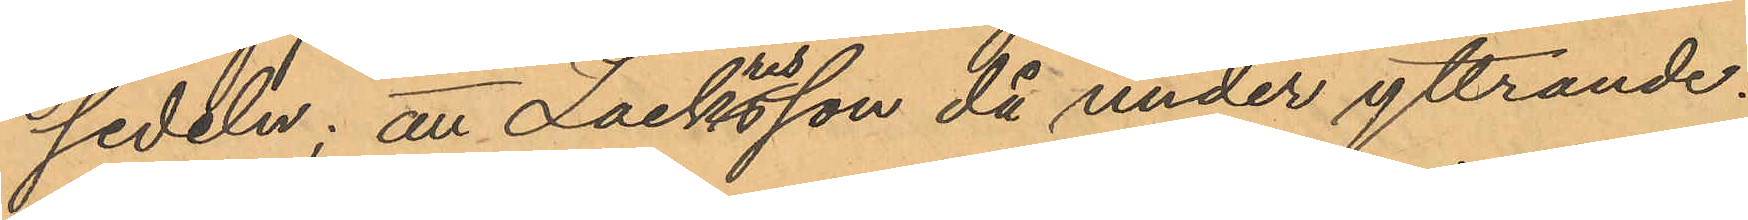sedeln; att Zackrisson då under yttrande:
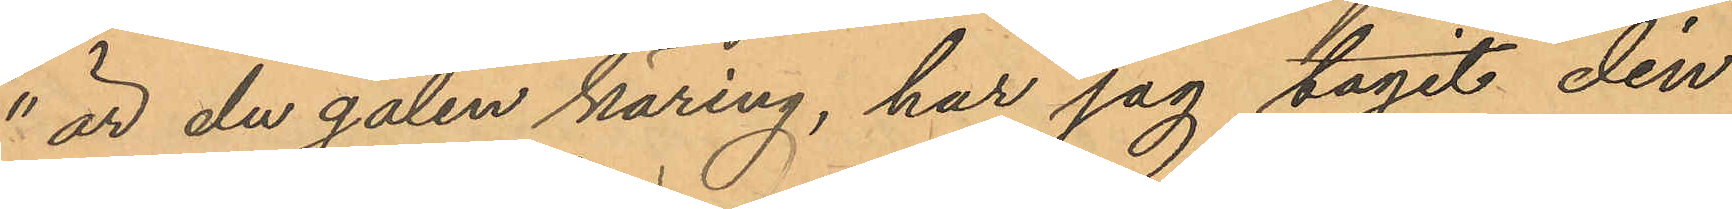"är du galen käring, har jag tagit din
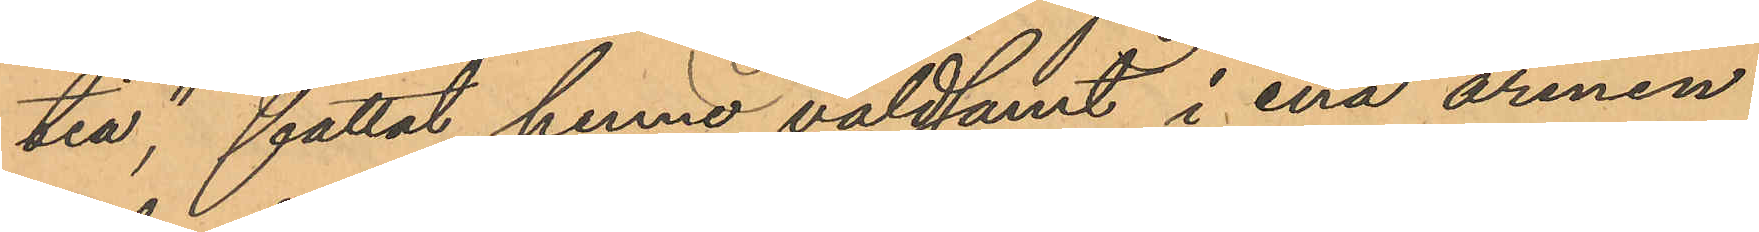tia", fattat henne våldsamt i ena armen
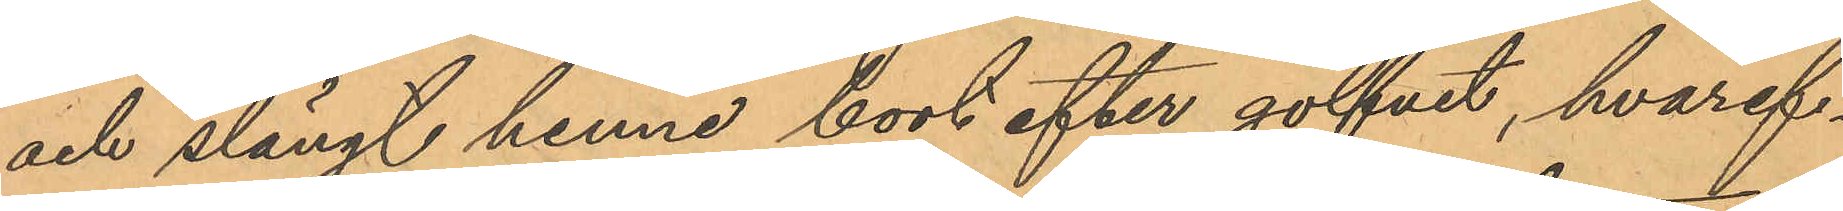och slängt henne bort efter golfvet, hvaref¬
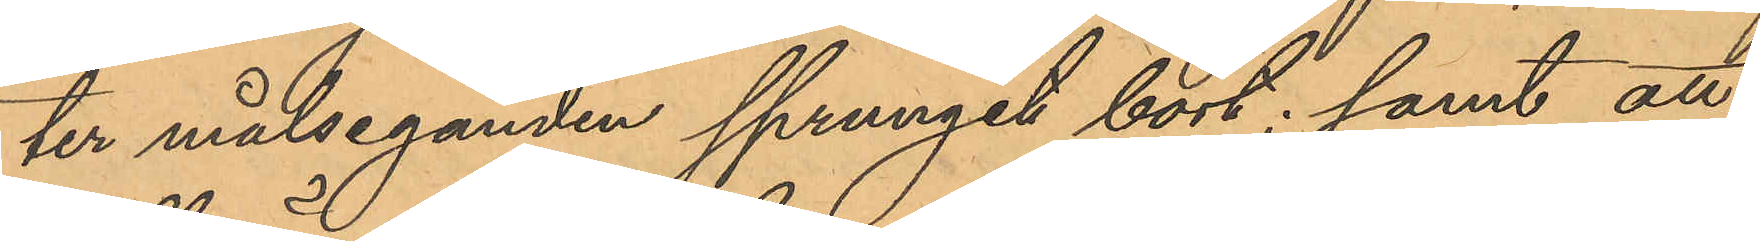ter målseganden sprungit bort; samt att
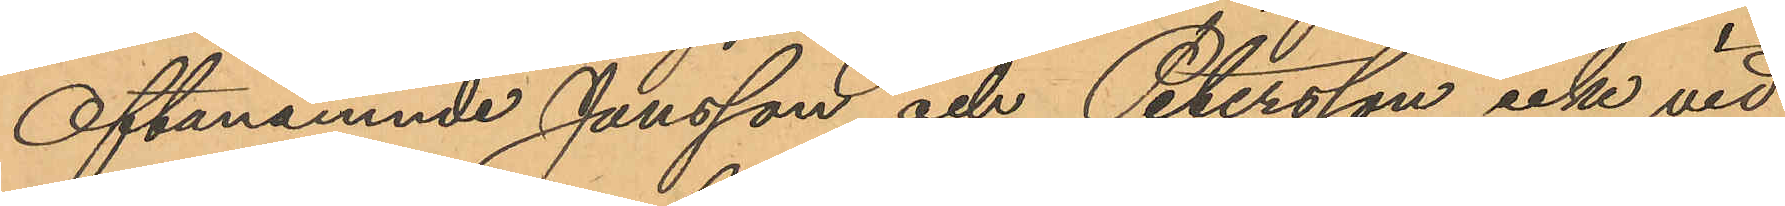Oftanämnde Jansson och Petersson icke vid
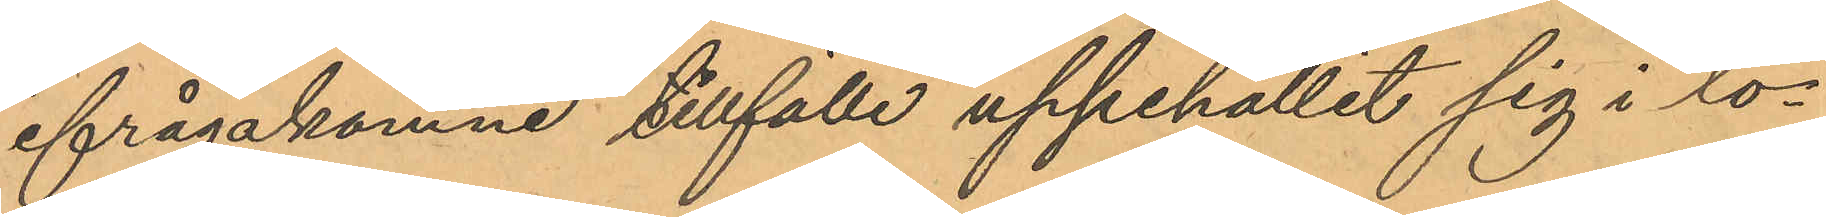ifrågakomne tillfälle uppehållit sig i lo¬
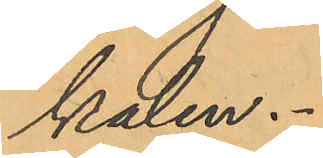kalen.
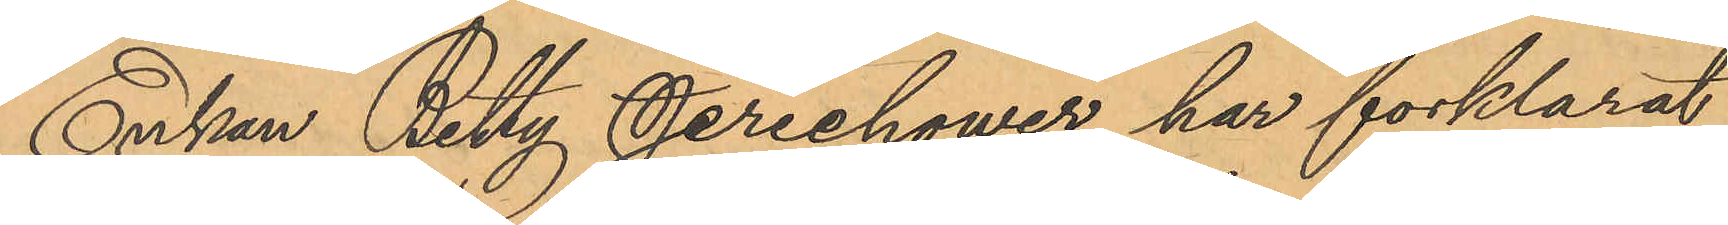Enkan Betty Jerichower har förklarat
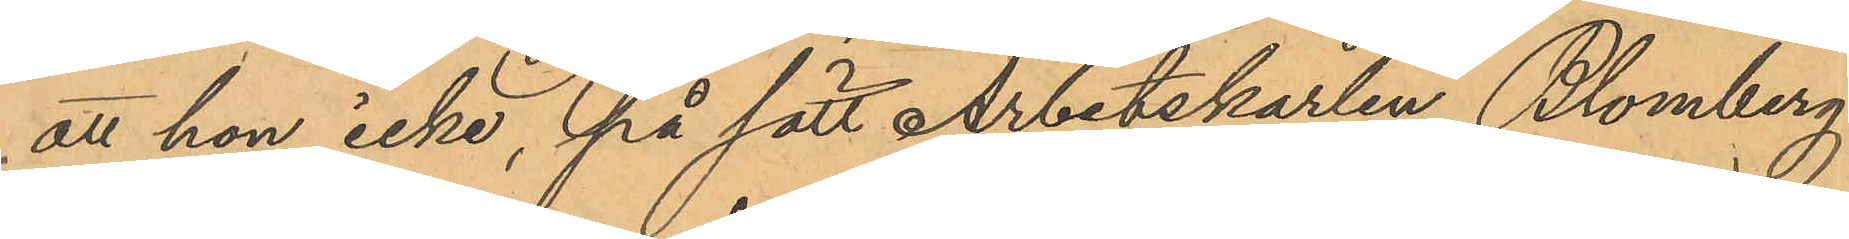att hon icke, på sätt Arbetskarlen Blomberg
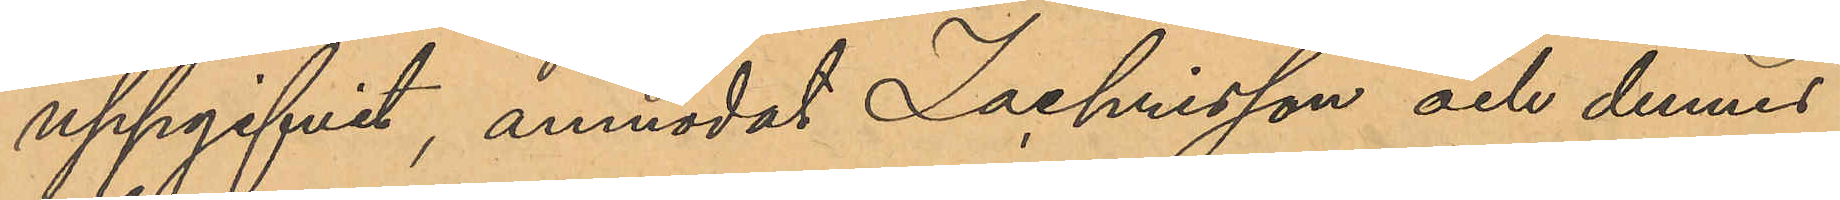uppgifvit, anmodat Zachrisson och dennes
